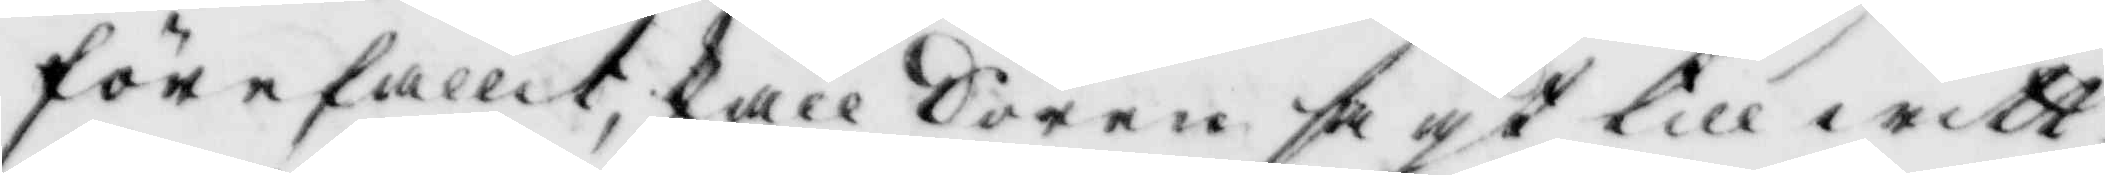flrefallit, skall Sören sagt till witt¬
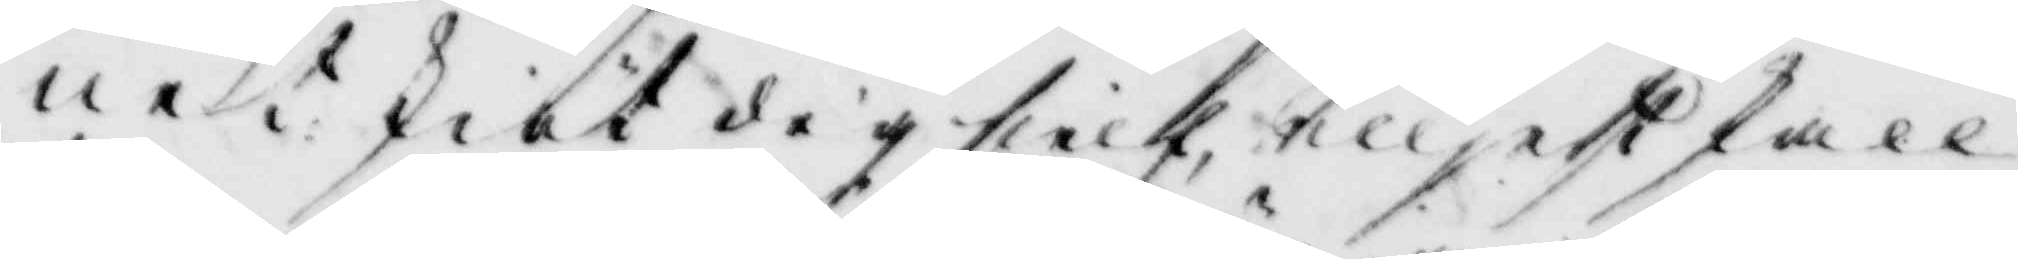net skiöt dig sielf, elljest skall
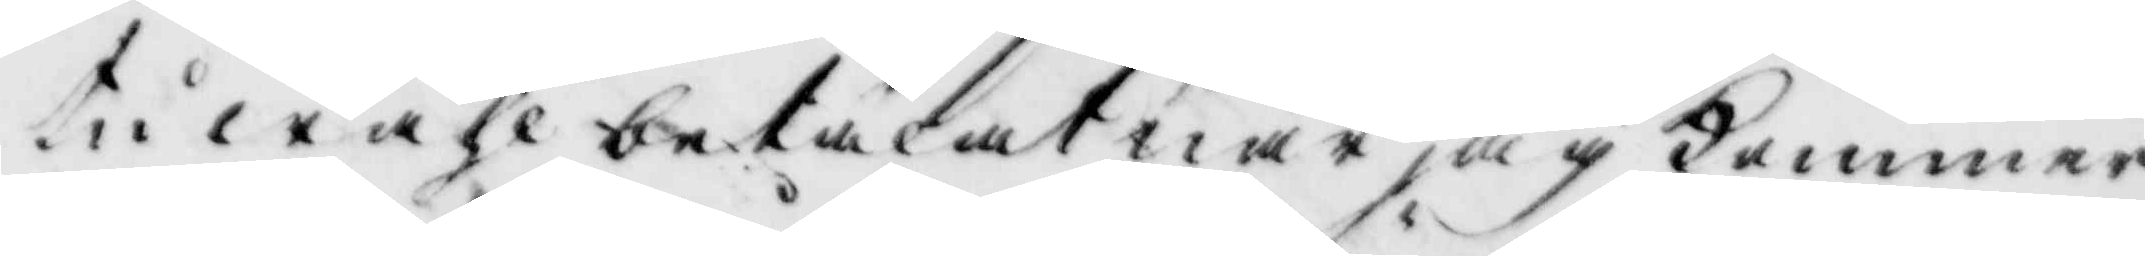tu wähl betalat när jag Kommer
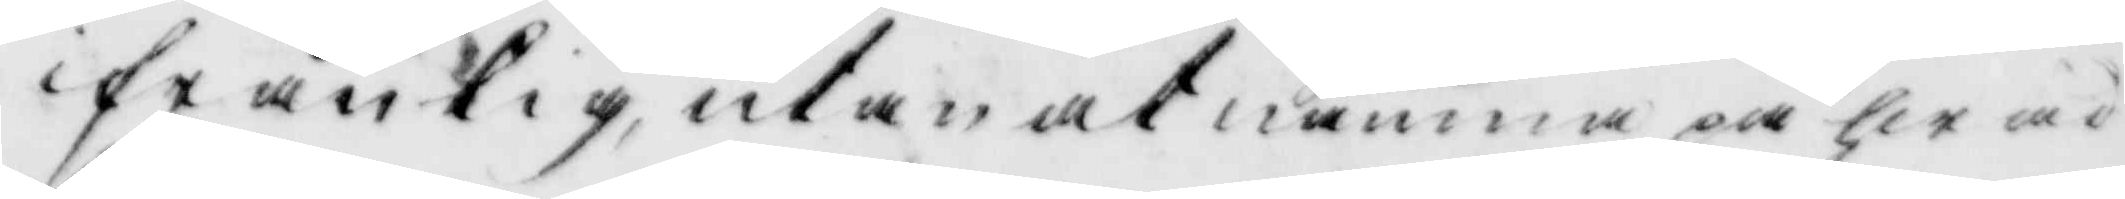ifrån tig, utan at nämna på hwad
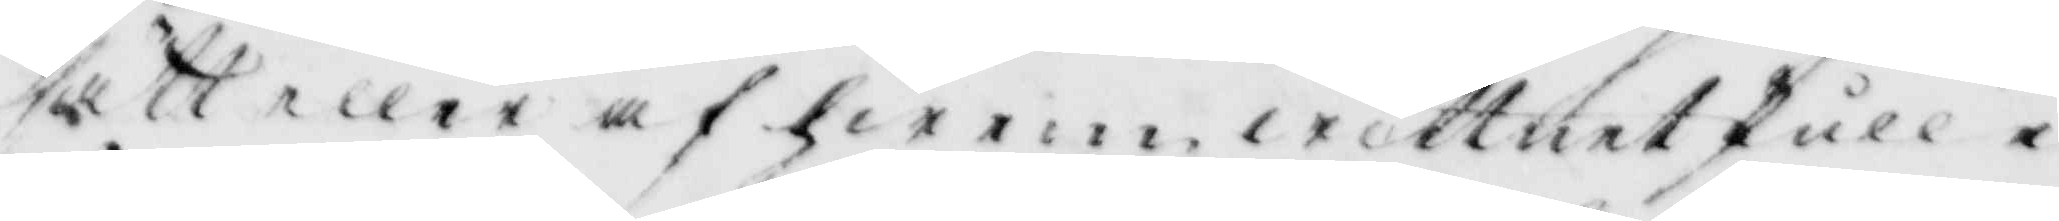sätt eller af hwem wittnet skulle i
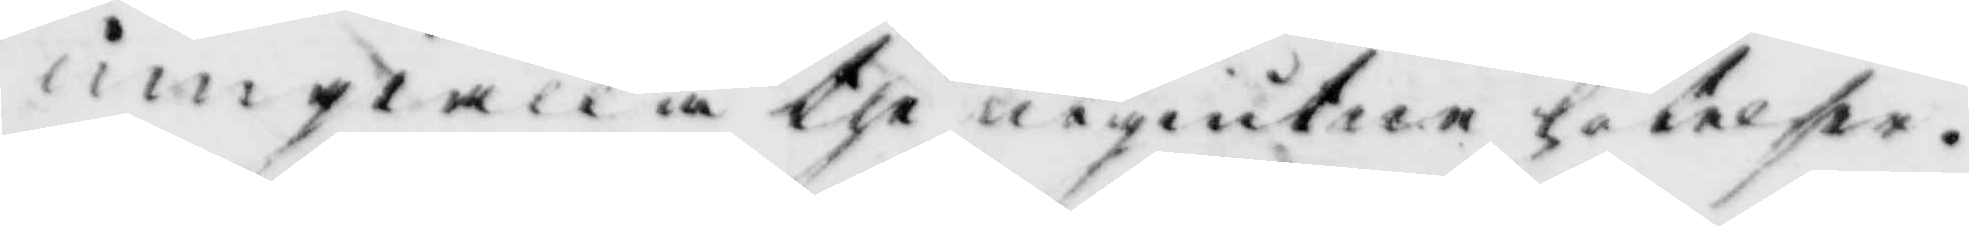umgiälla the utgiuten hotelse.
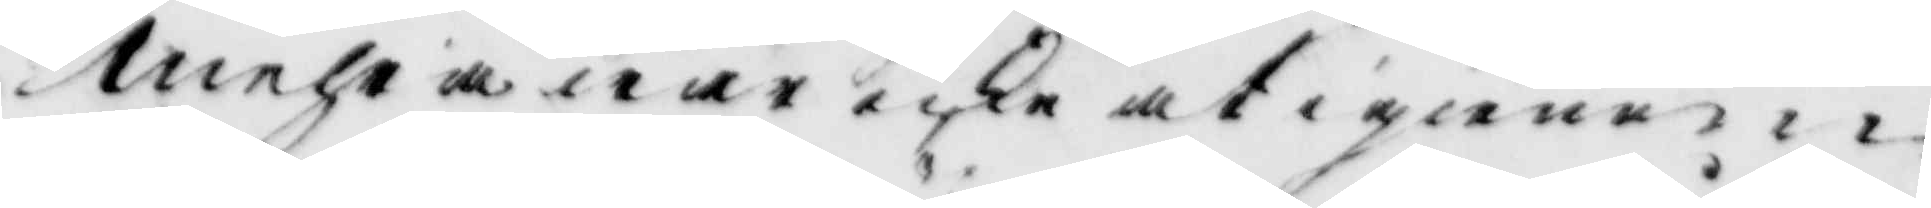mehra war icke at i giemen
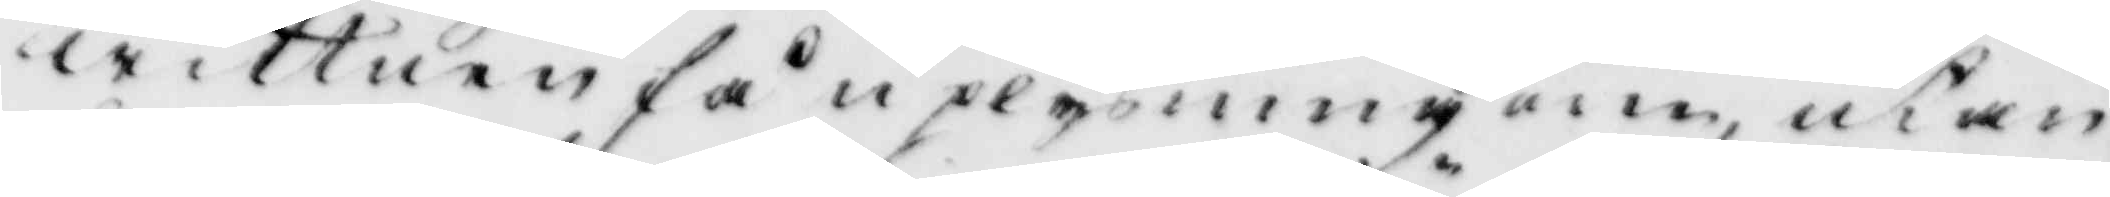wittnen få uplysning om utan
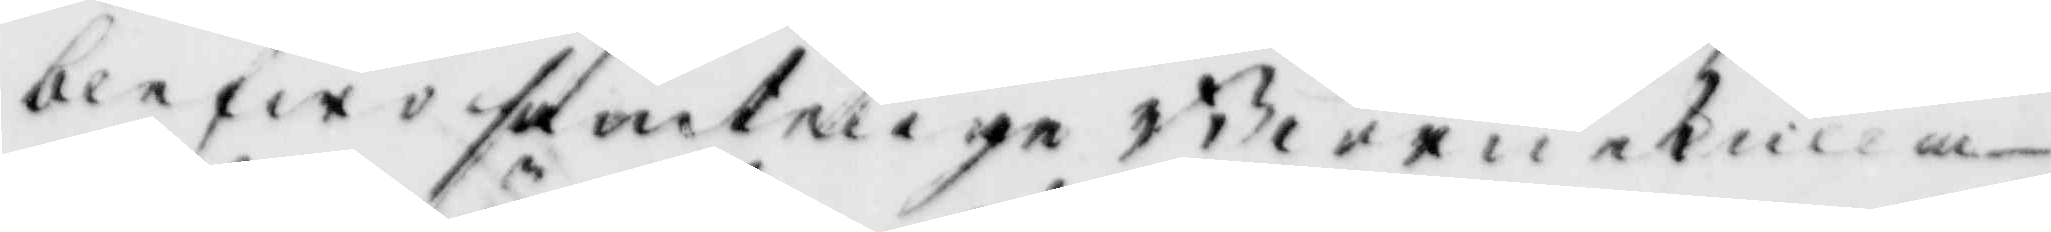blefwo samtelige Biörnekulla
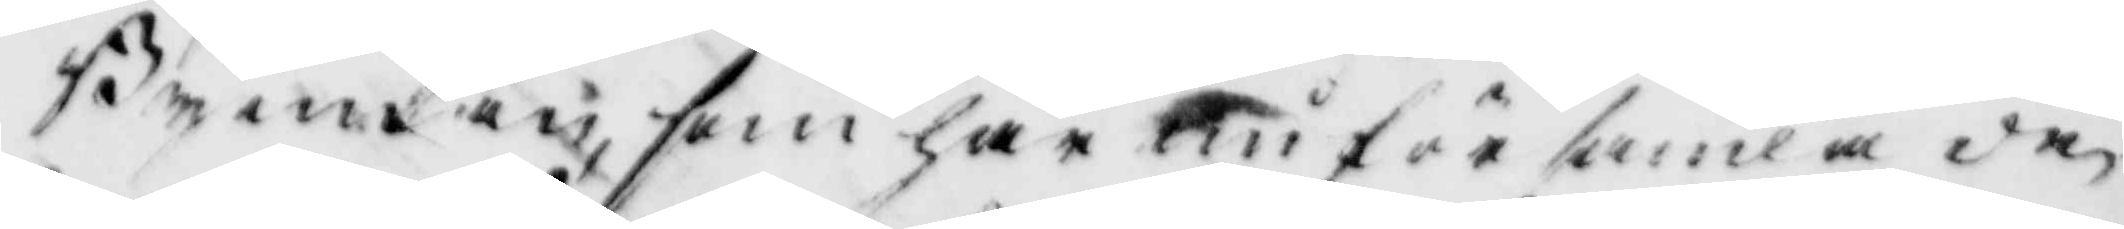Byemän, som här inför samlade
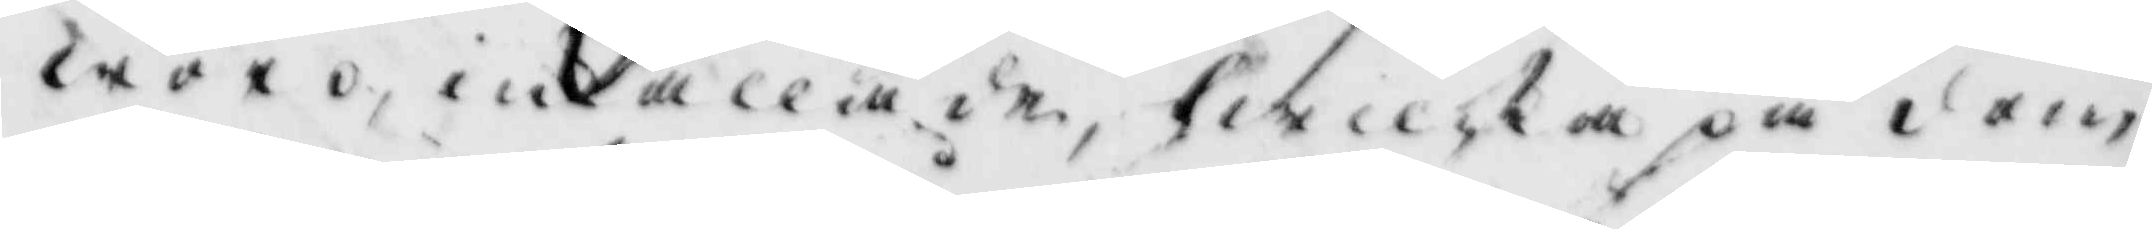woro, inkallade, hwilka på dom¬
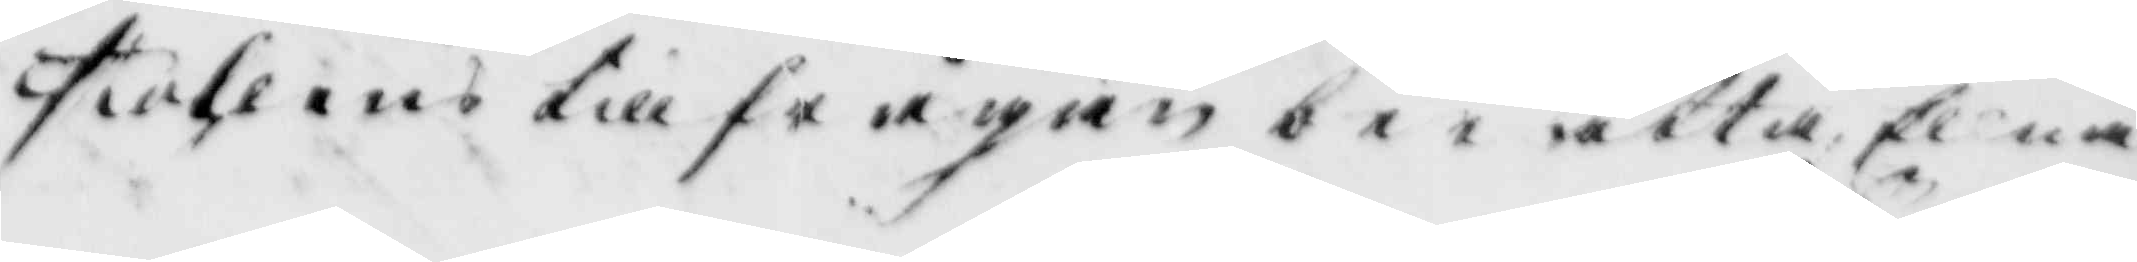stolens till frågan berätta, Ellna
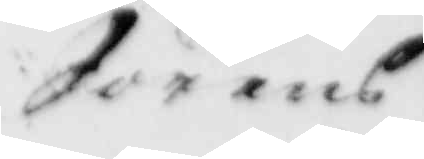Sörens¬
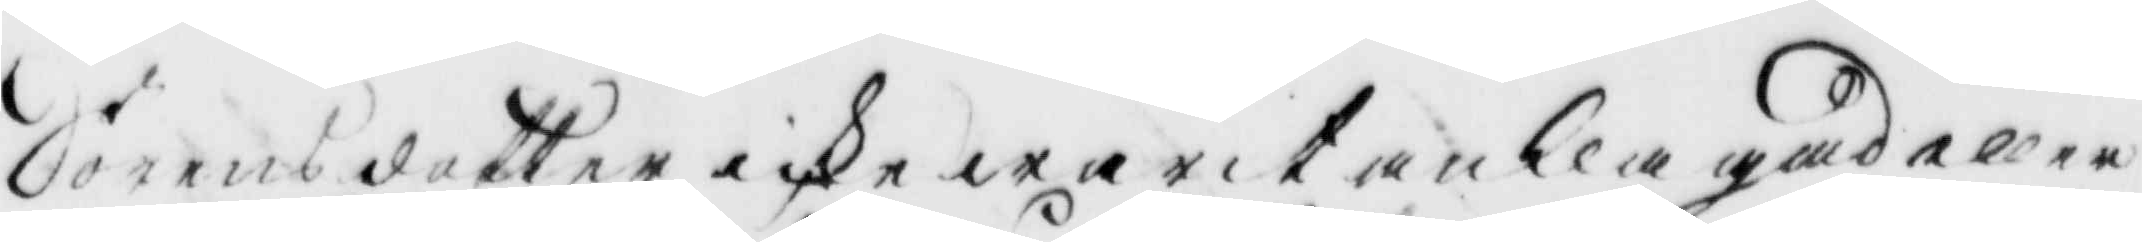Sörensdotter icke warit anklagad eller
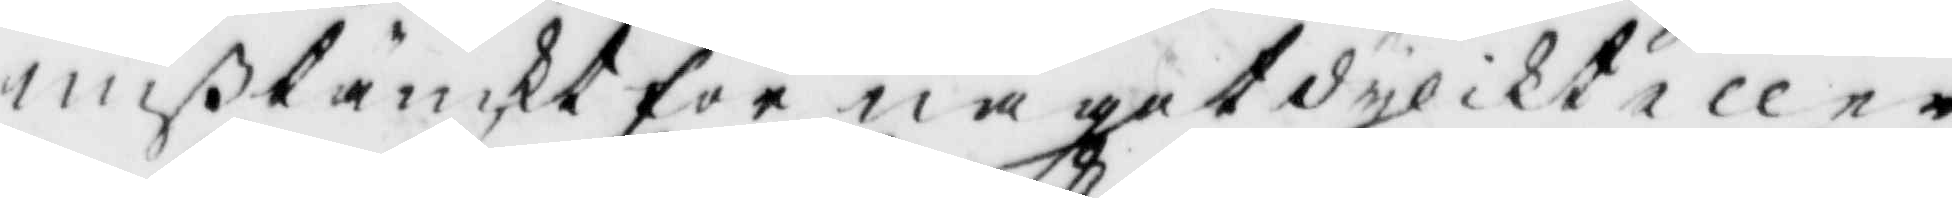mißtänkt för något dylikt eller
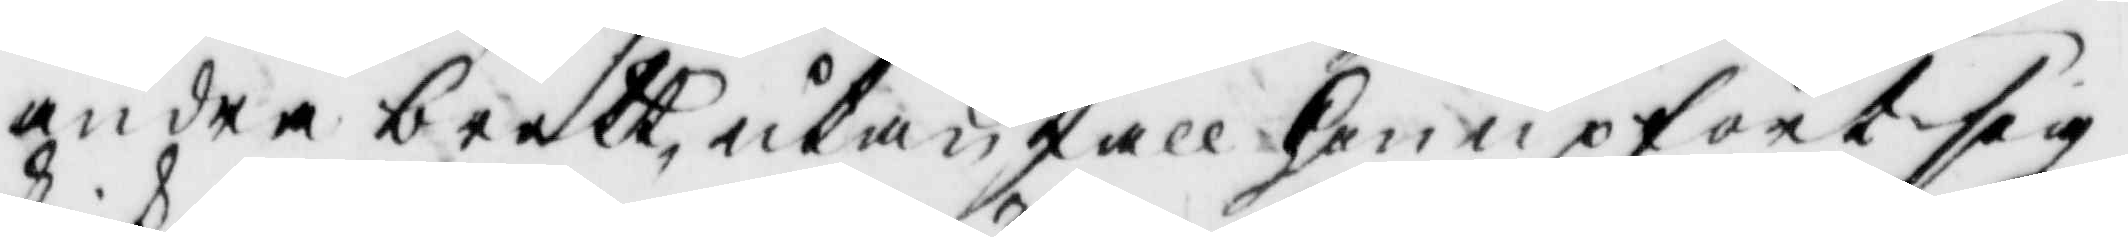andra brott, utan skall hon upfört sig
